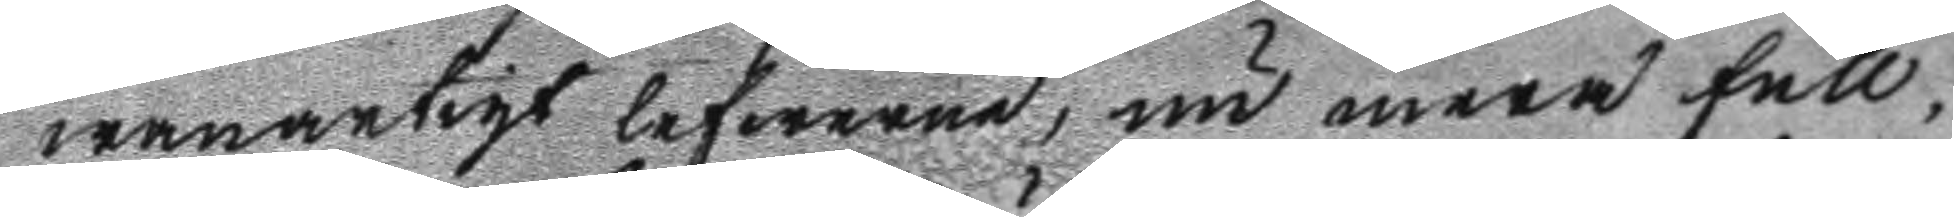wanartigt lefwerne, nu mera full¬
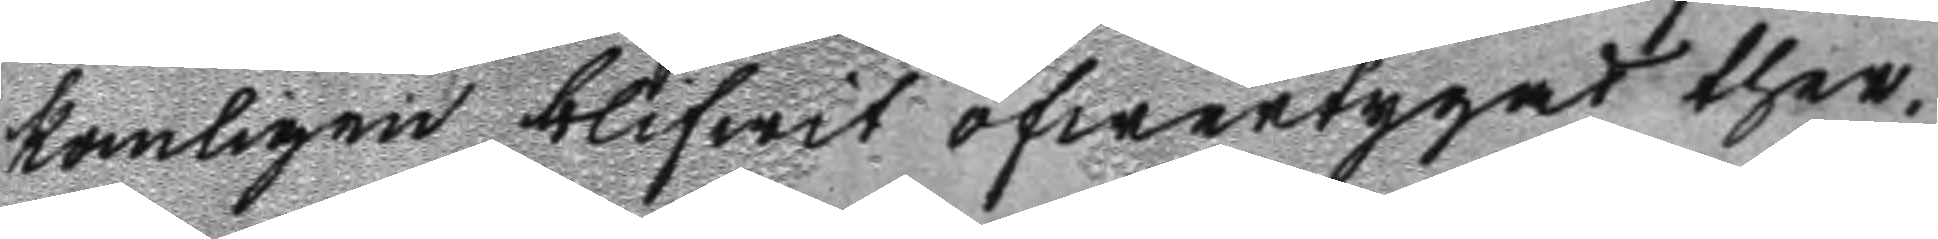komligen blifwit öfwertygad ther¬
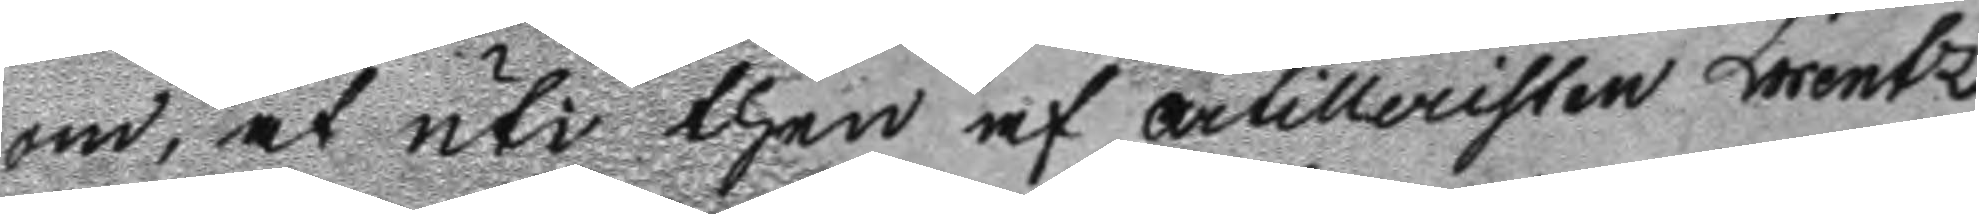om, at uti then af artilleristen Lorentz
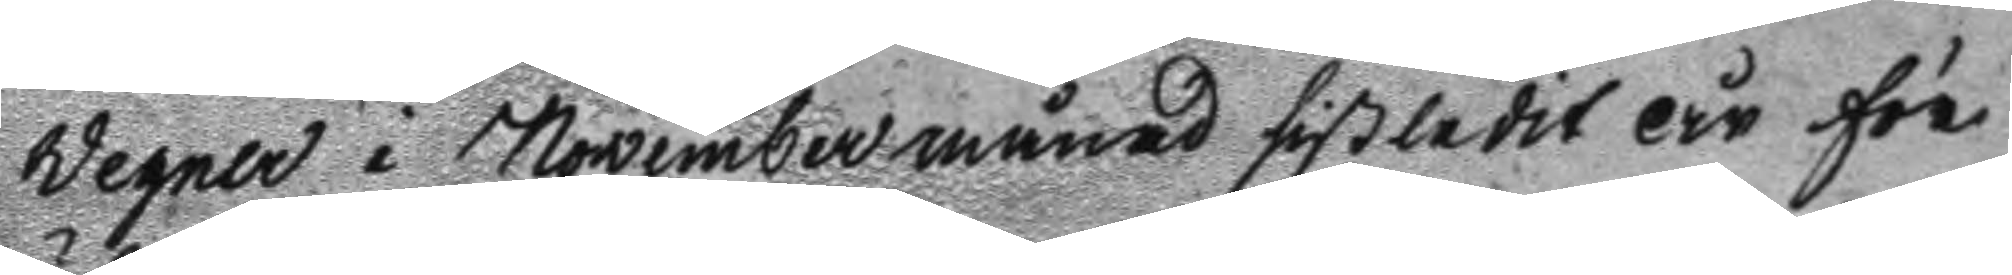Wegner i November månad sistledit år för¬
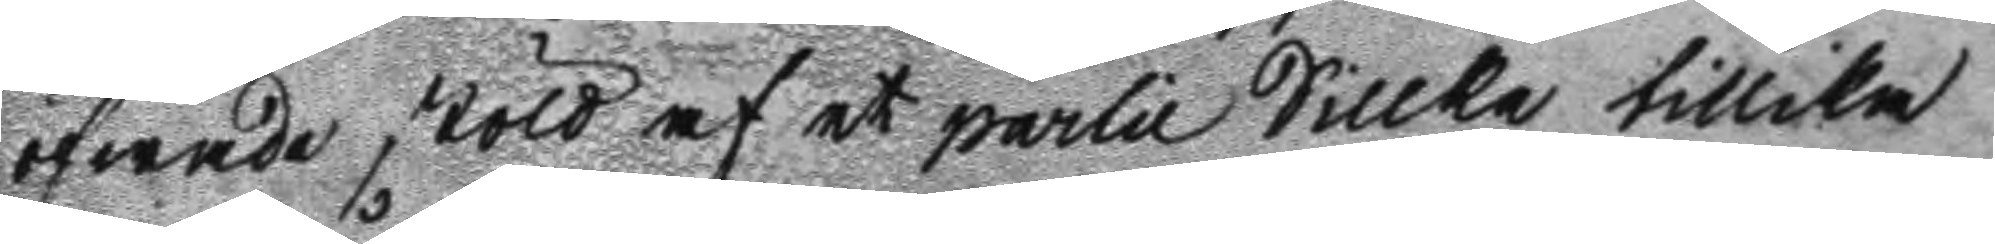öfwade stöld af et partii Sillke tillika
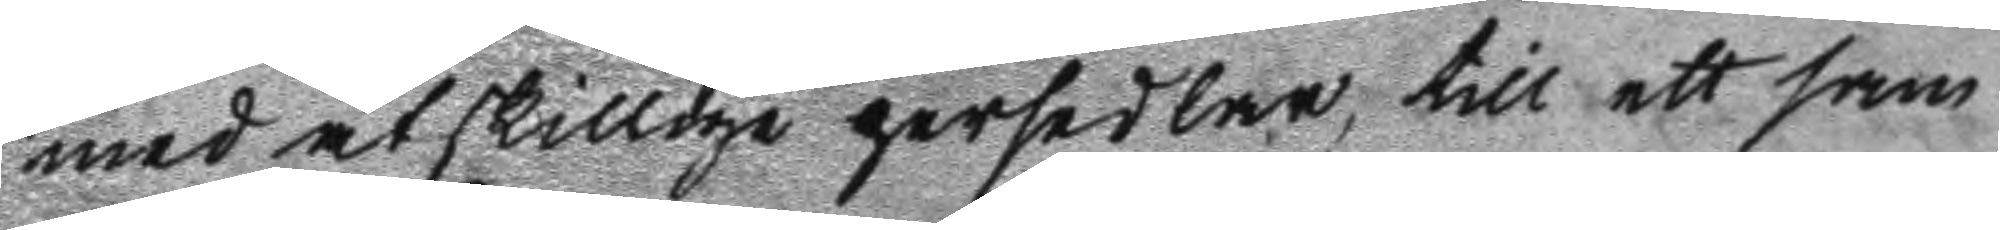med åtskillige persedlar, till ett sam
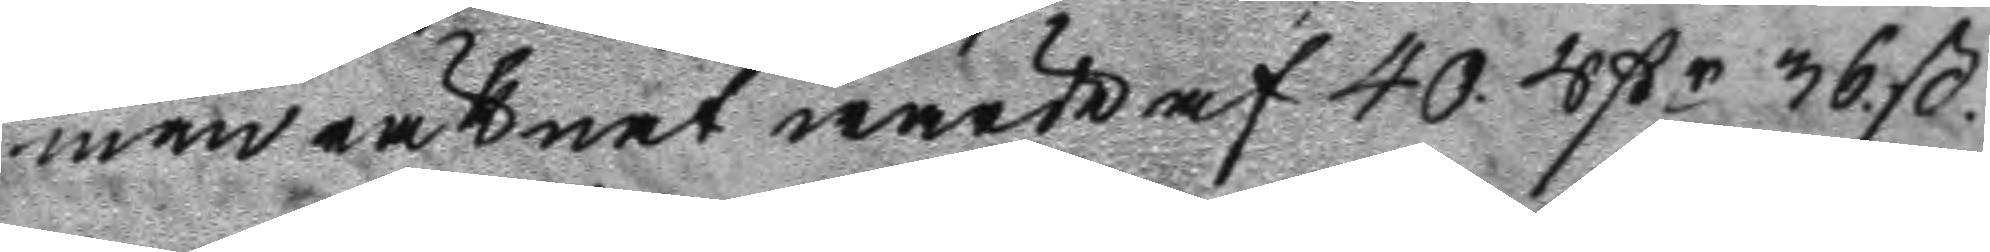manräknat wärde af 40. rßr 36 ß.
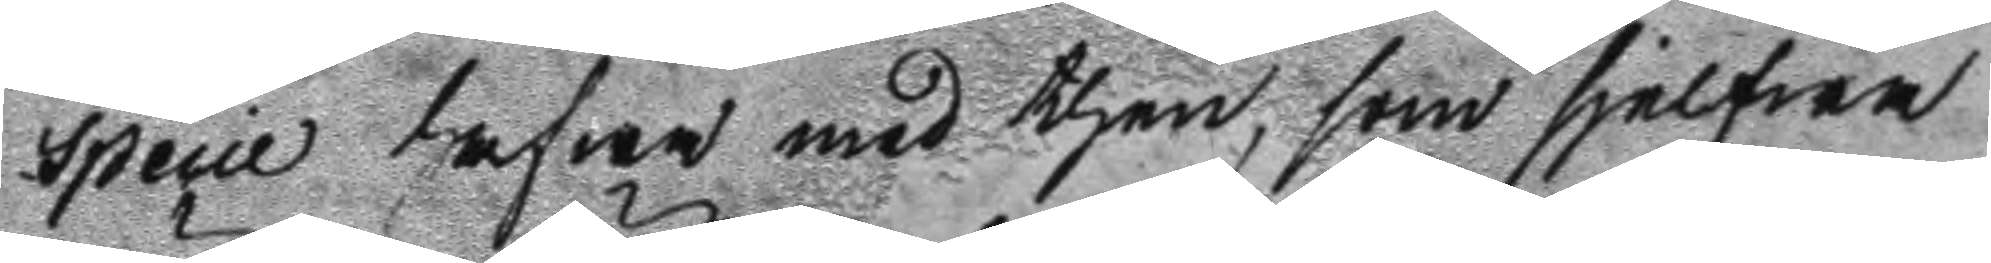specie hafwa med then, som sjelgwa
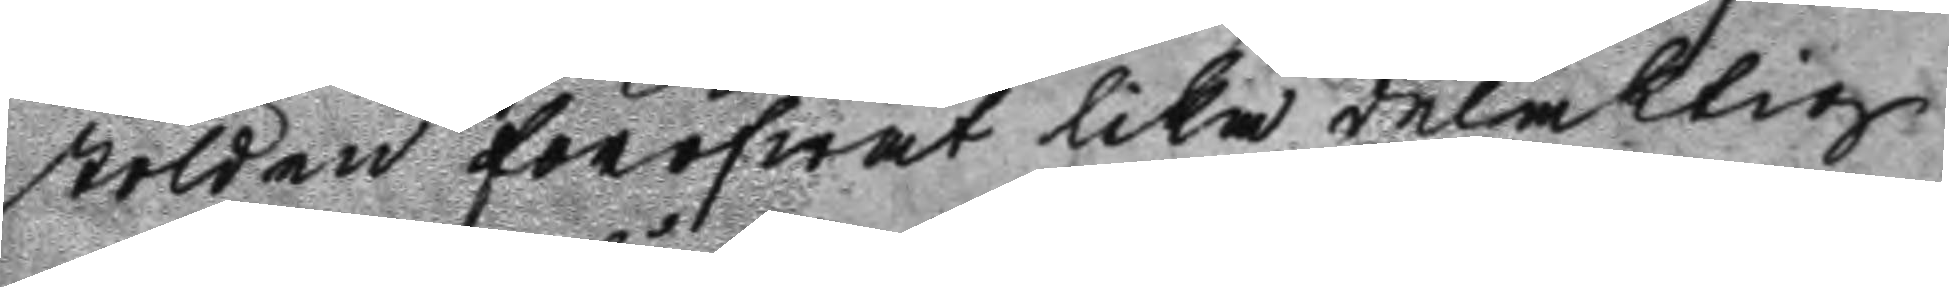stölden föröfwat lika delaktig
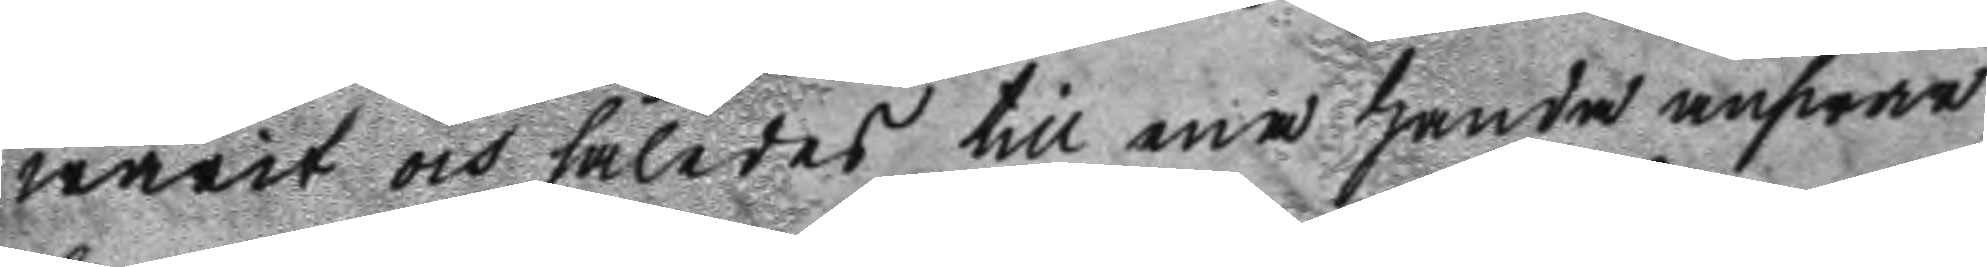warit och således till ena handa answar
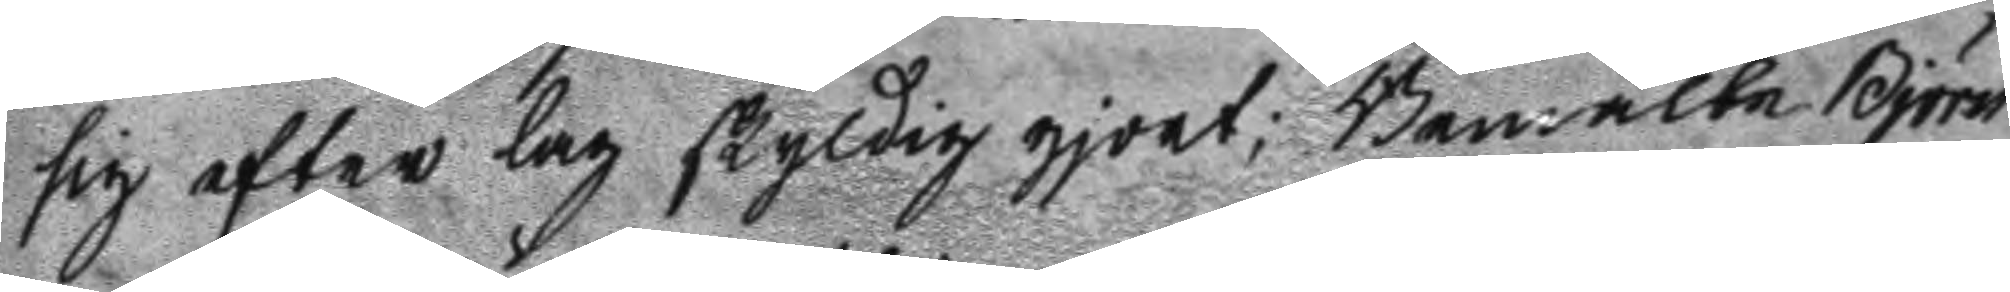sig efter lag skyldig gjort; Bemälte Björn
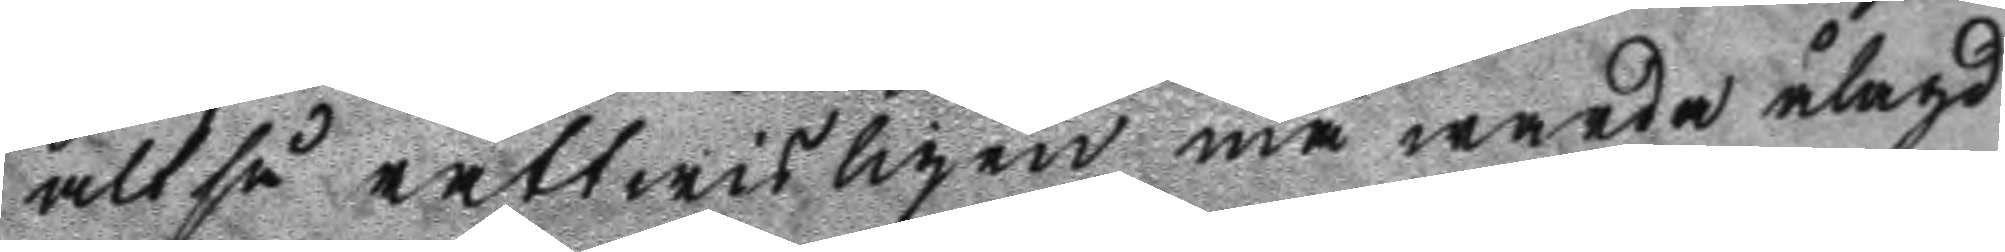altså rättwisligen må warda ålagd
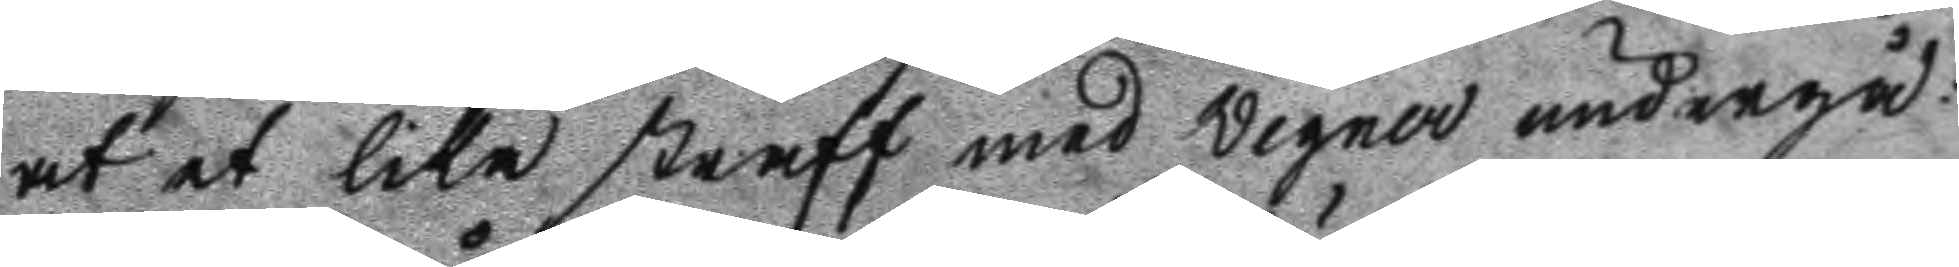at et lika straff med wegner undergå:
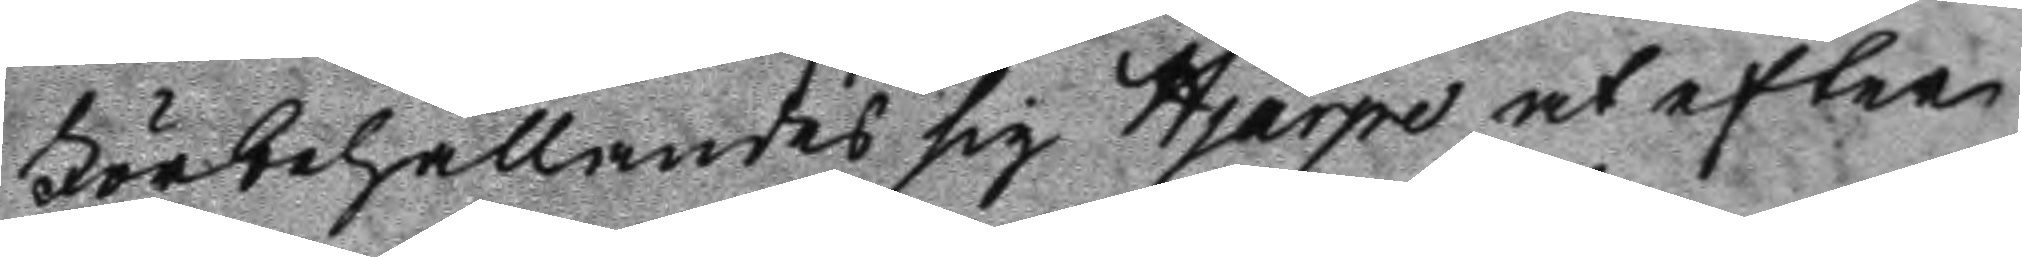Förbehållandes sig Hjärpe at efter
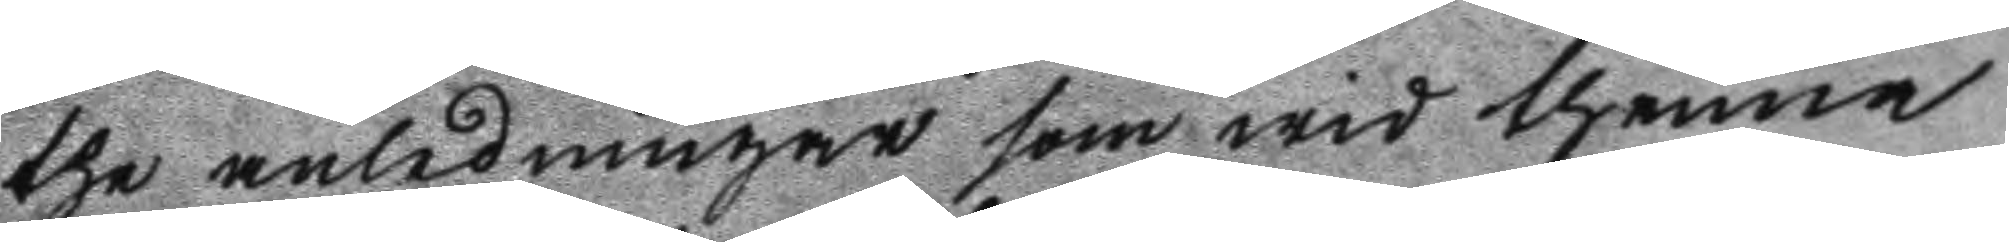the anledningar som wid thenna
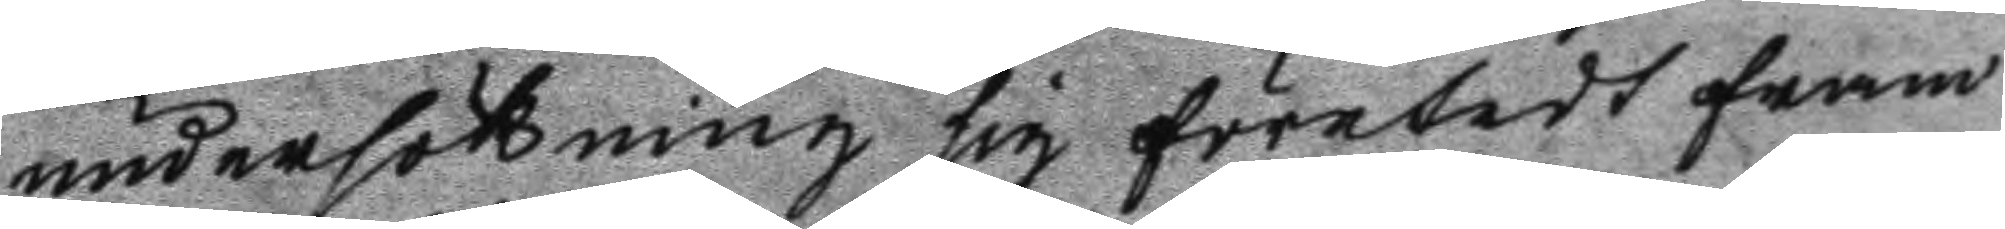undersökning sig företedt fram
